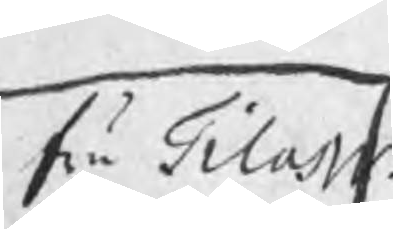fru Tilas w.
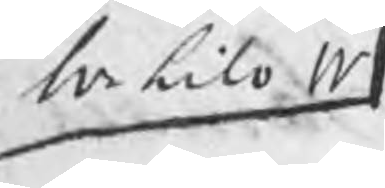hr Lilo w
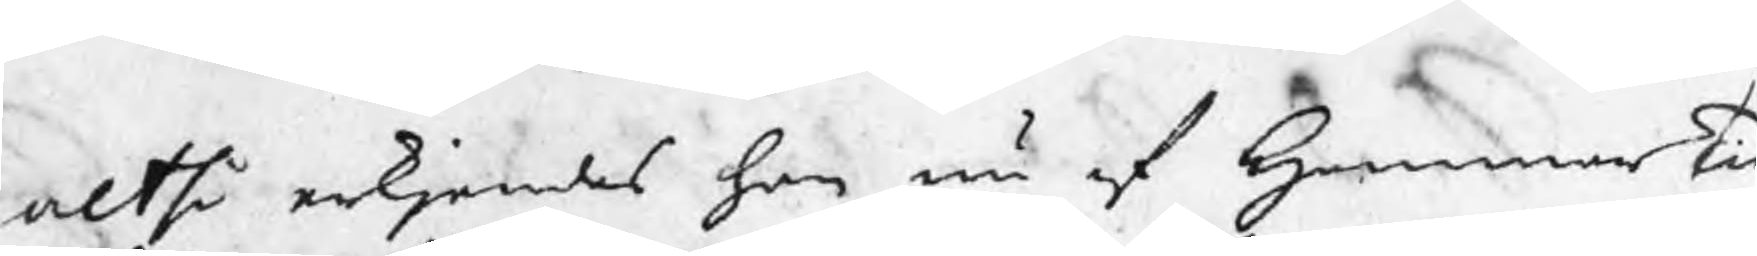altså erkjendes han nu af HammarTi
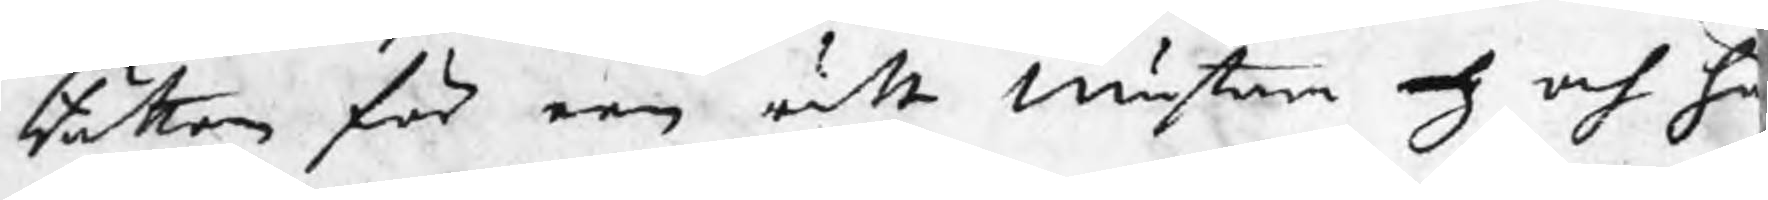Rätten för een rätt Mästare och och ha
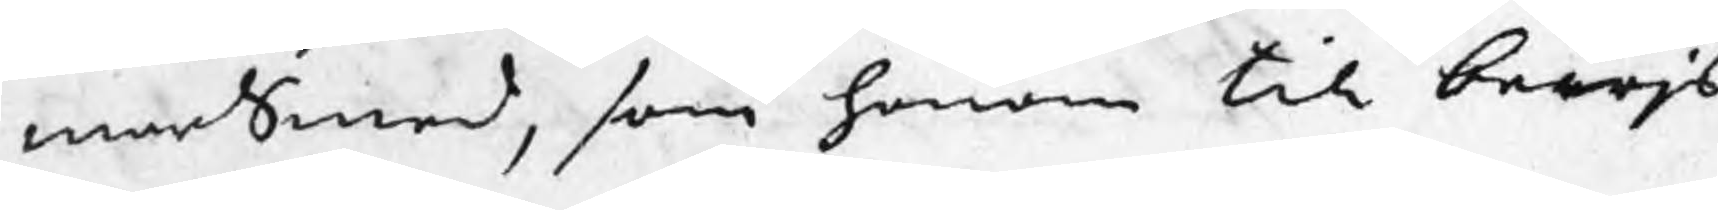marSmed, som honom till bewjs
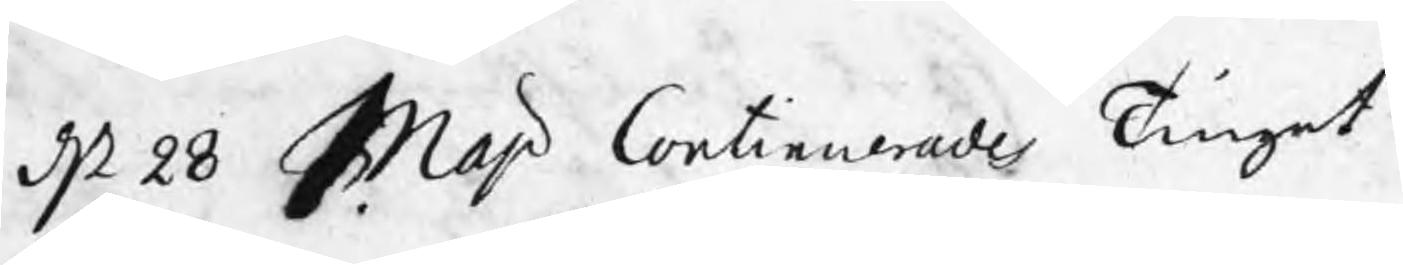d 28 Maj Continuerades Tinget.
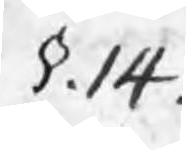§.14.
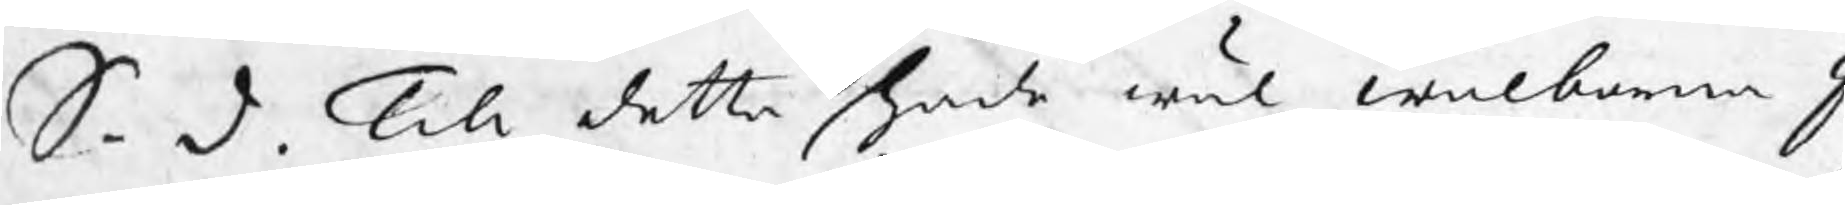S. d. Till detta hade wäl wälborna J
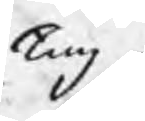Ting
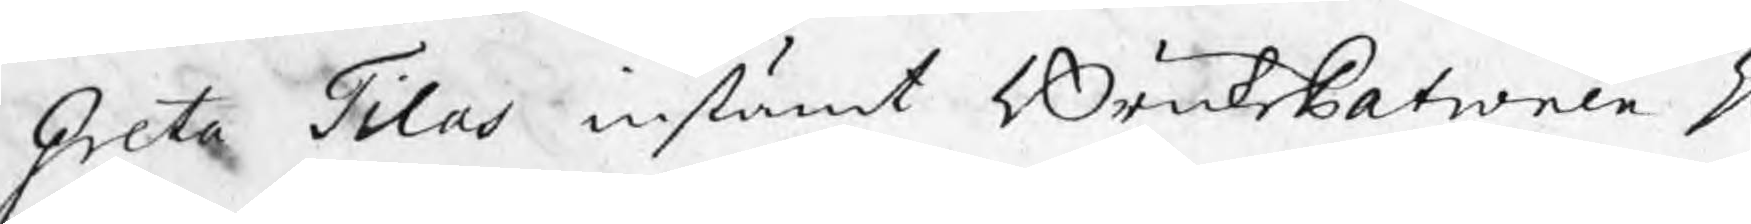Greta Tilas instämt BruksPatronen H
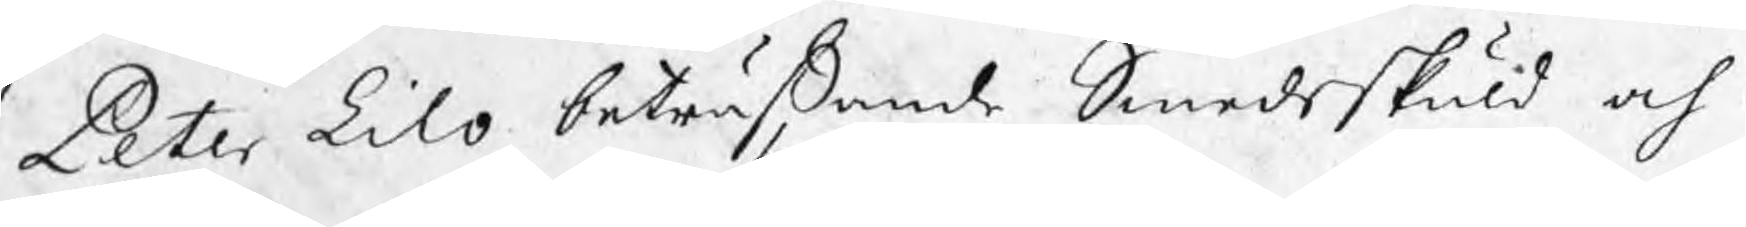Peter Lilo beträffande Smedskuld och E
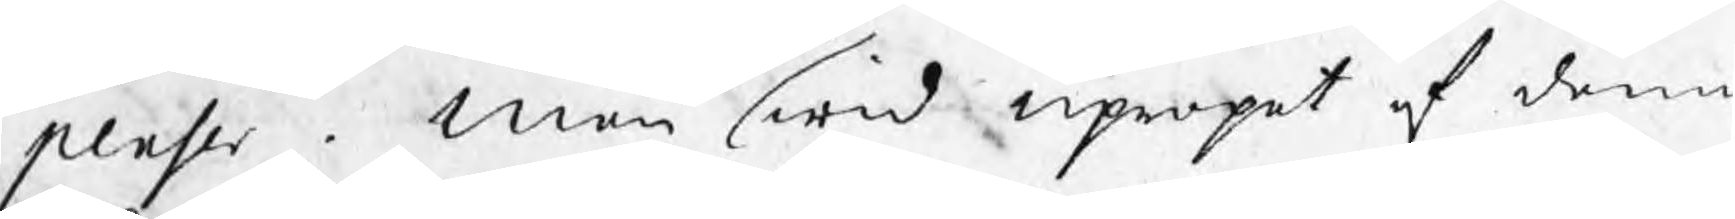penser . Men wid upropet af denn
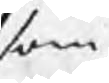som
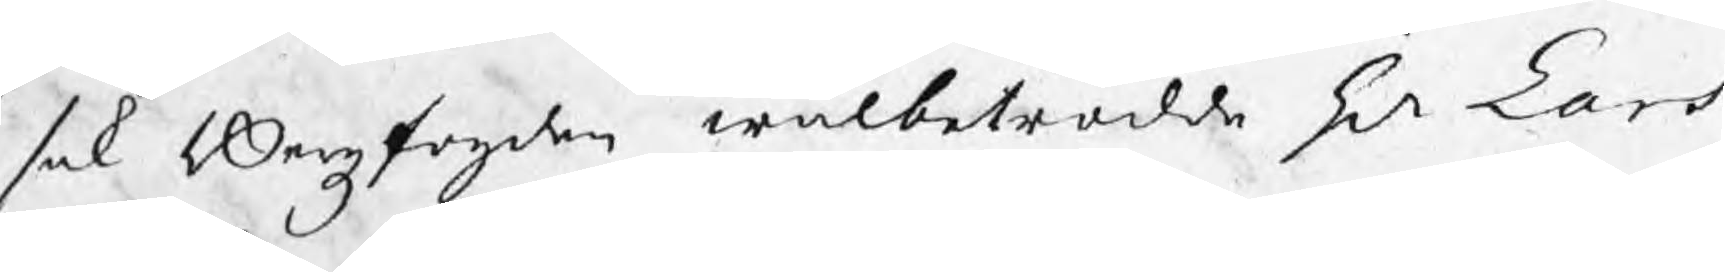sak Bergzfogden wälbetrodde Hr Lars
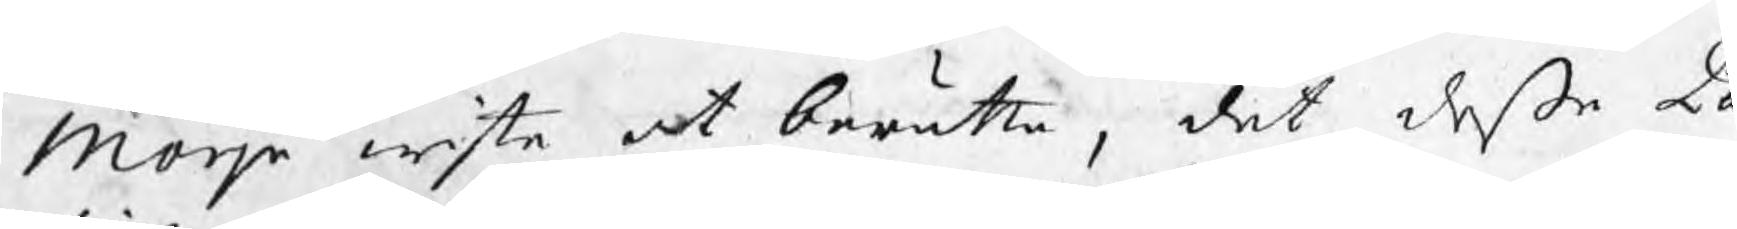Morje wiste at berätta, det deße Pa
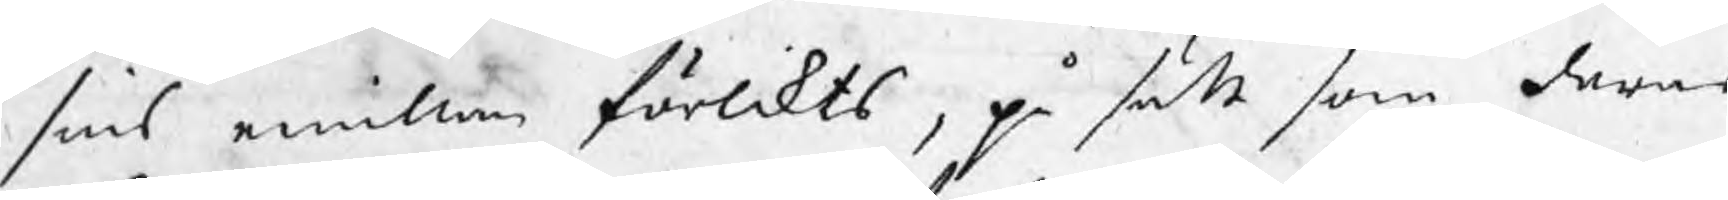sins emillan förlikts, på sätt som deras
